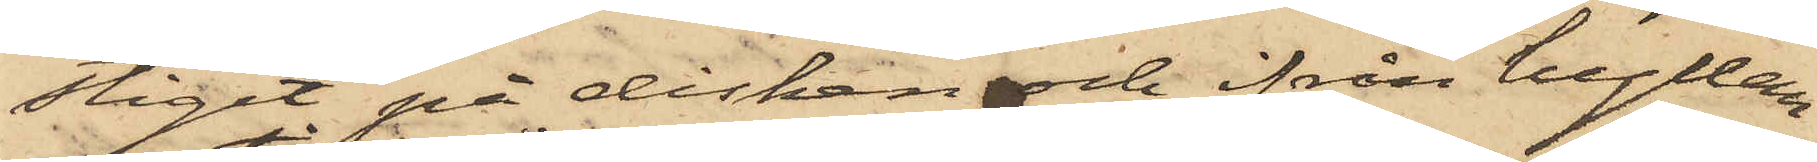stigit på disken och ifrån hyllan
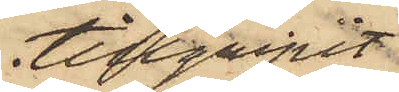tillgripit
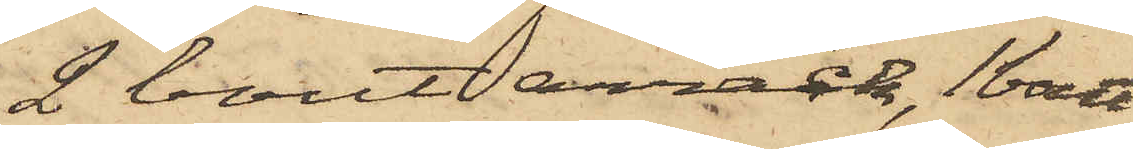2 bout arrack, 1 bout
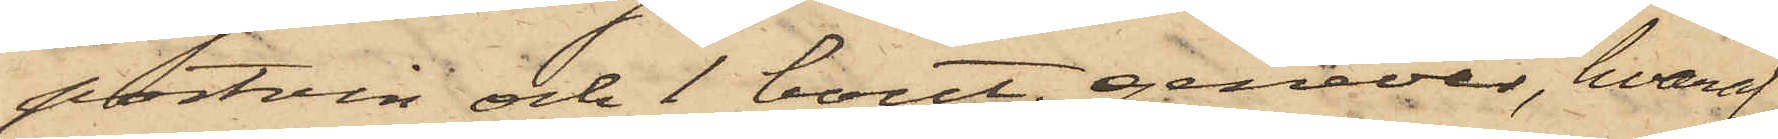portvin och 1 bout. genever, hvaraf
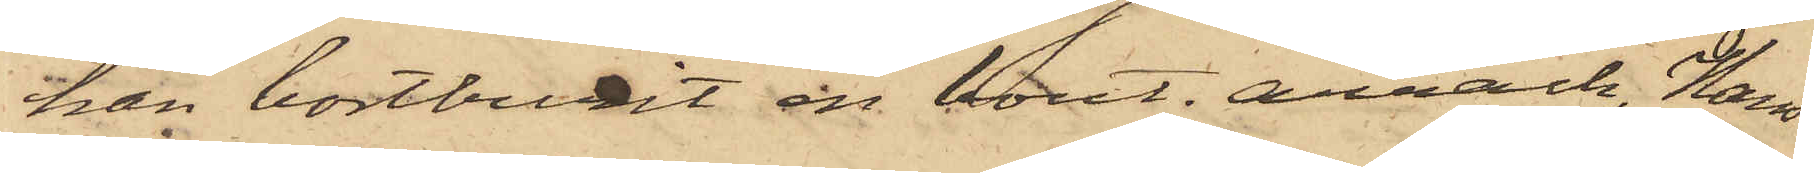han bortburit en bout. arrack, Hans
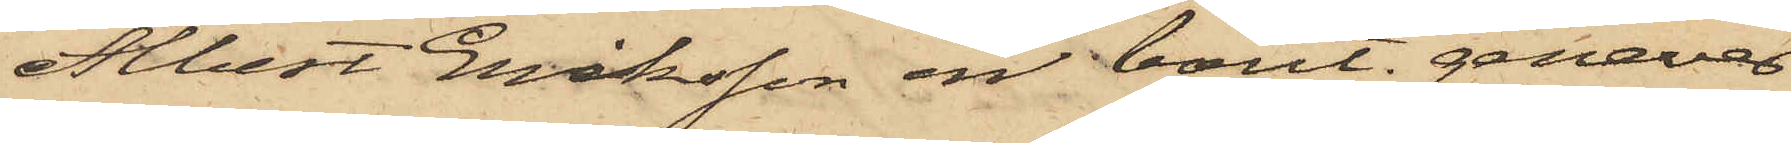Albert Eriksson en bout. genever
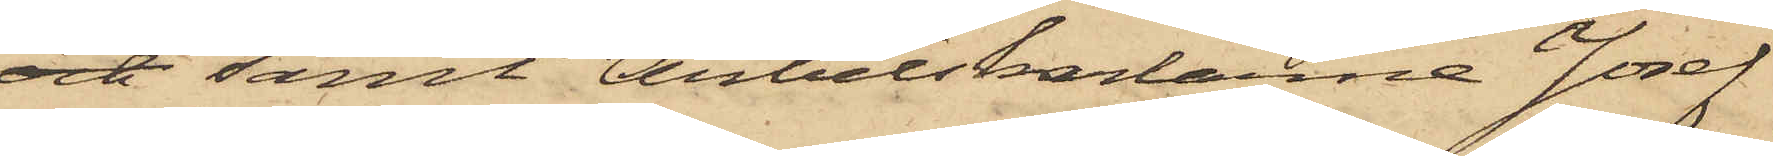och samt Arbetskarlarne Josef
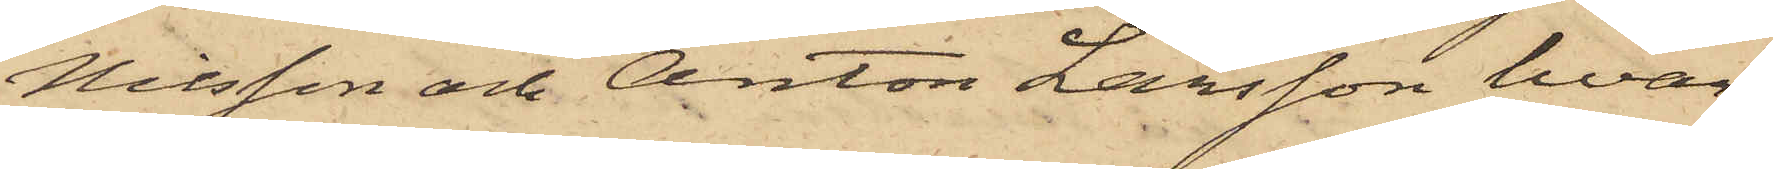Nilsson och Anton Larsson hvar¬
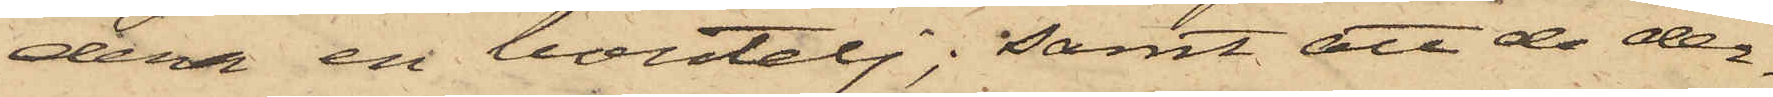dera en boutelj; samt att de der¬
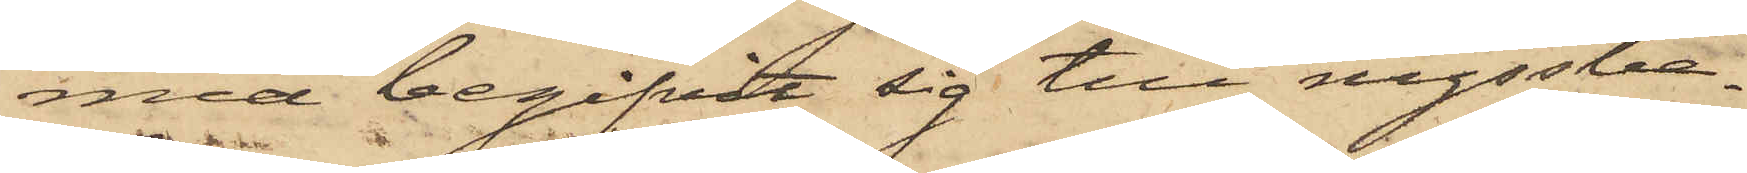med begifvit sig till nyssbe¬
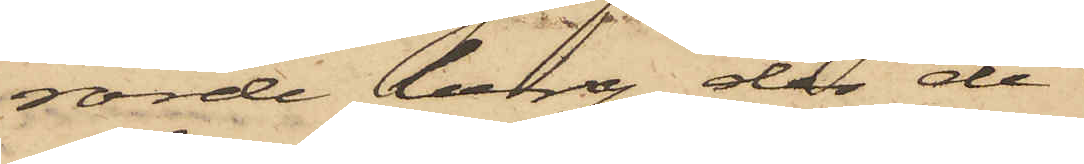rörde berg, der de
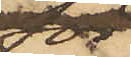för¬
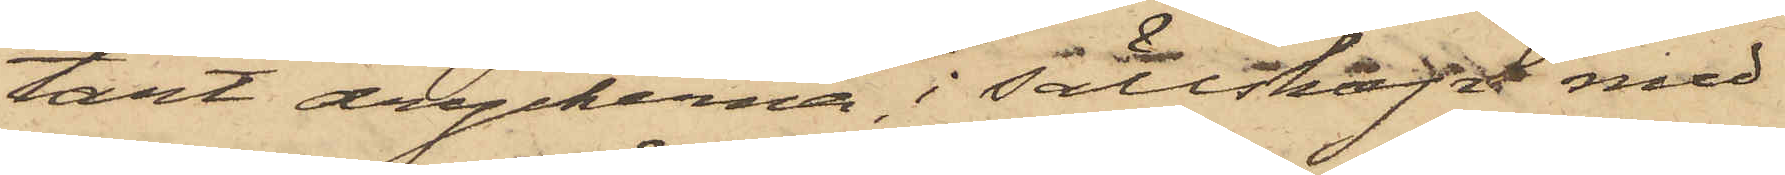tärt dryckerna, i sällskap med
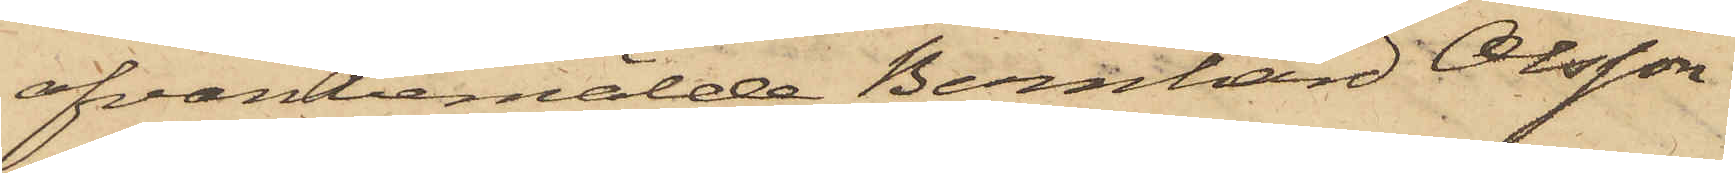ofvanbemälde Bernhard Olsson
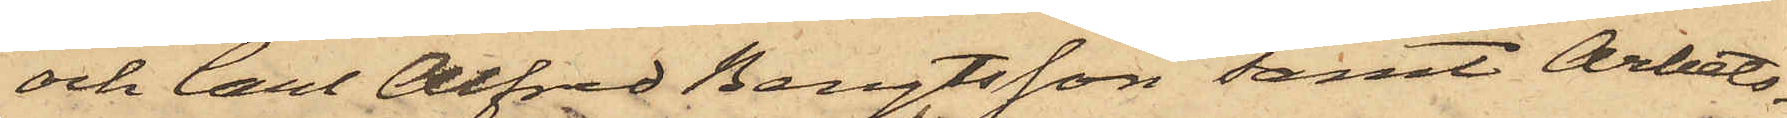och Carl Alfred Bengtsson samt Arbets¬
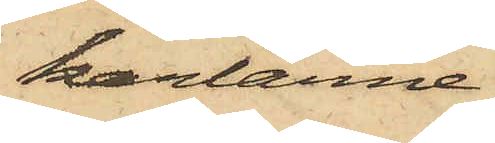karlarne
